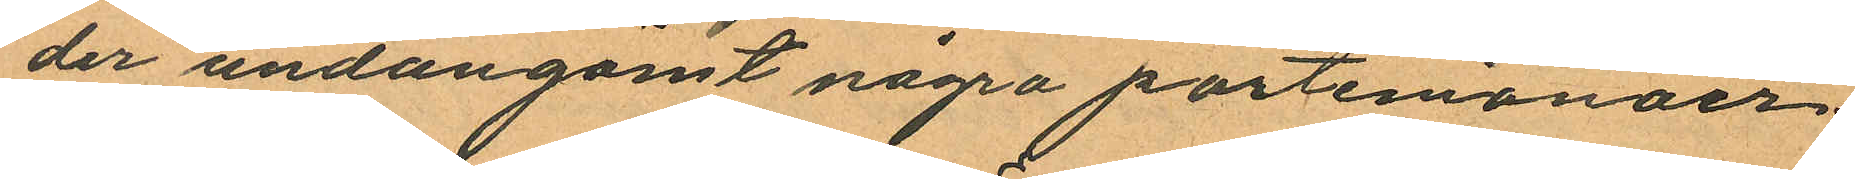der undangömt några portemonäer
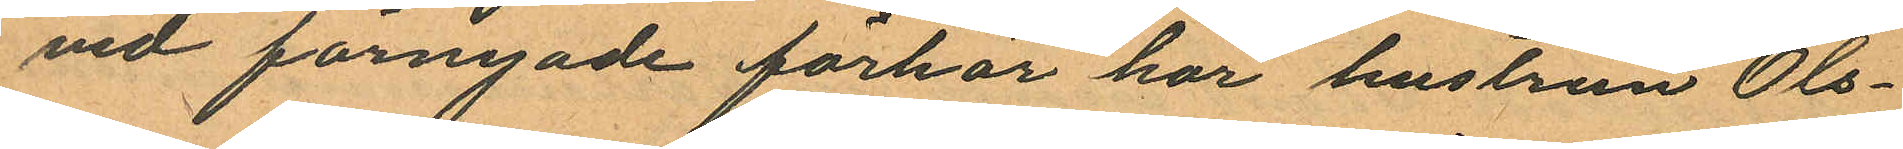vid förnyade förhör har hustrun Ols¬
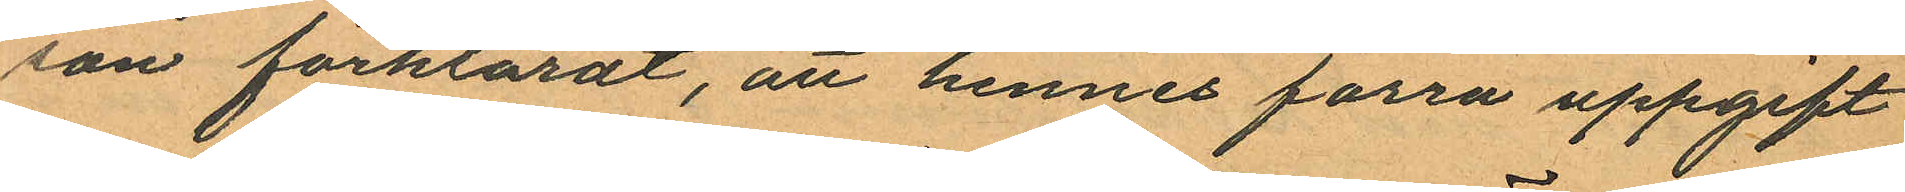son förklarat, att hennes förra uppgift
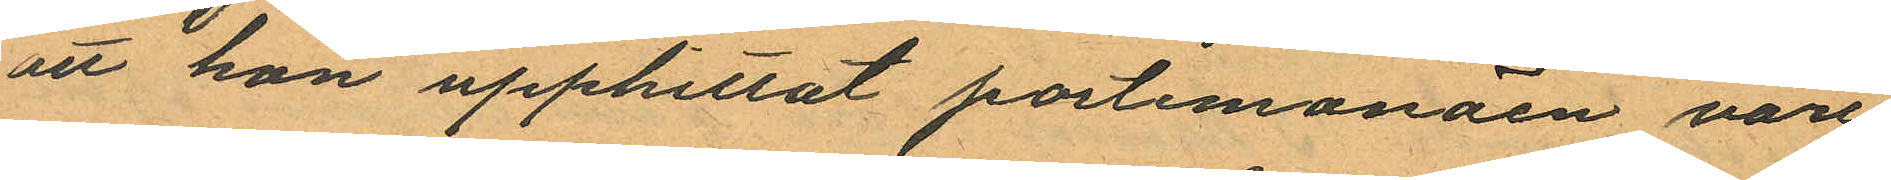att han upphittat portemonäen vore
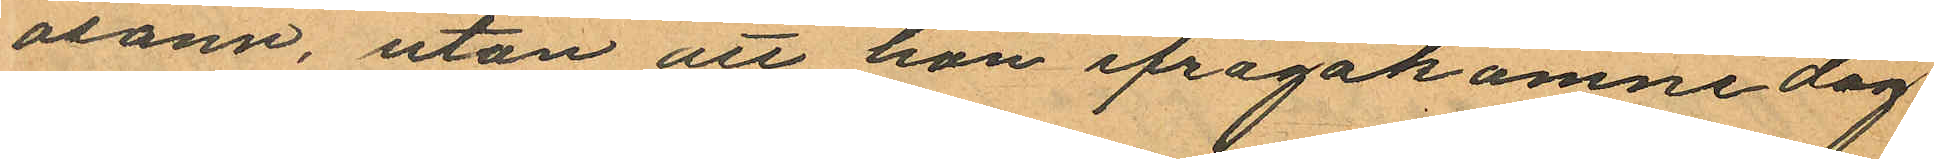osann, utan att hon ifrågakomne dag
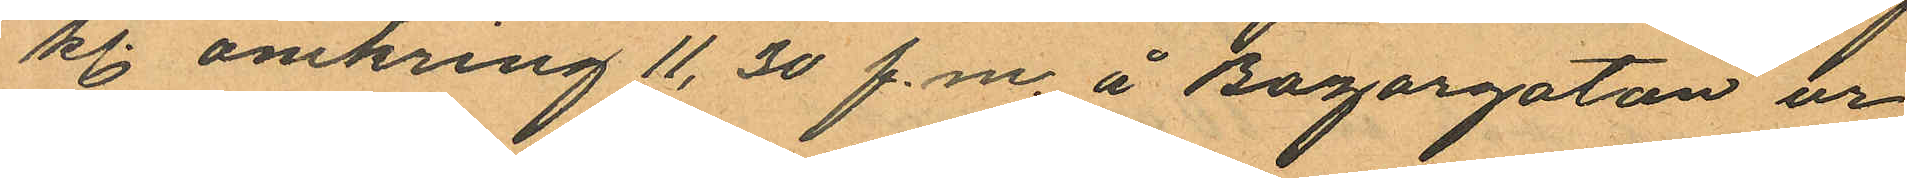kl. omkring 11,30 f.m. å Bazargatan ur
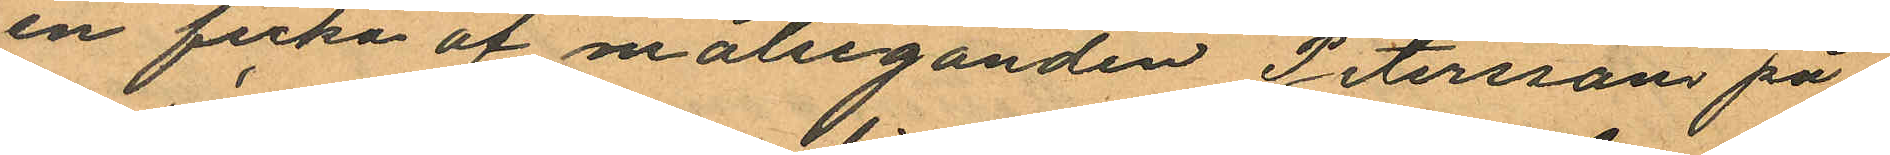en ficka af målseganden Peterssons på¬
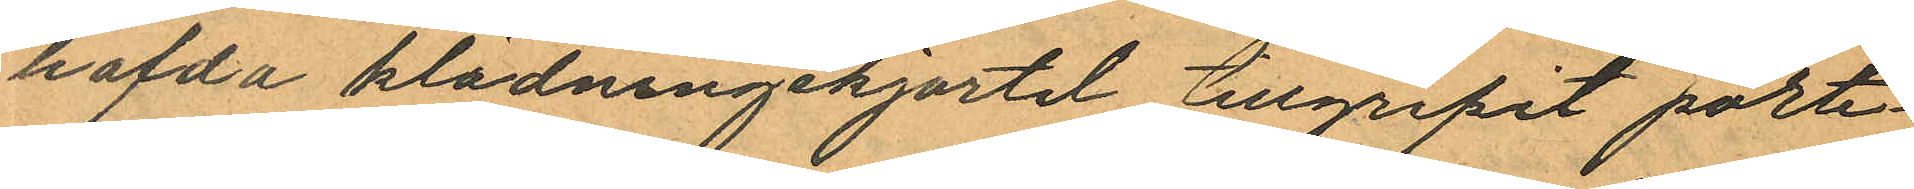hafda klädningskjortel tillgripit porte¬
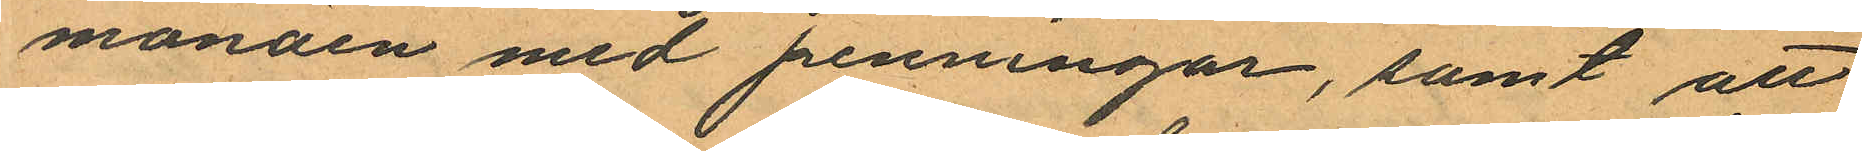monäen med penningar, samt att
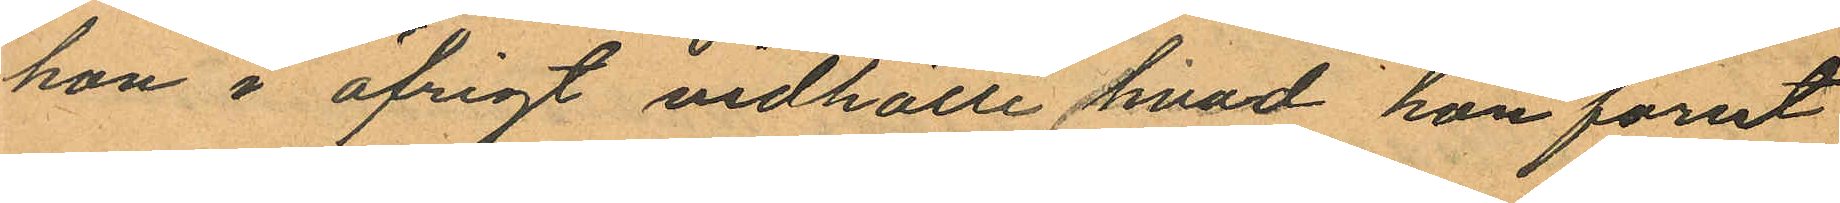hon i öfrigt vidhölle hvad hon förut
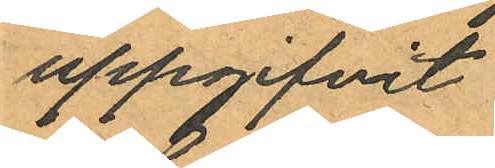uppgifvit
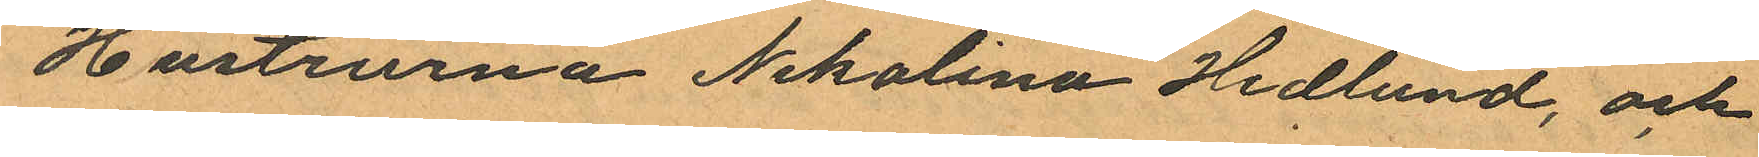Hustrurna Nikolina Hedlund, och
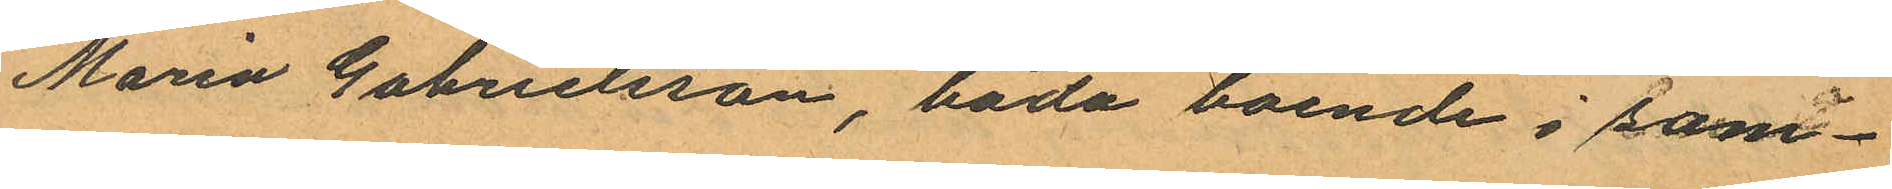Maria Gabrielsson, båda boende i sam¬
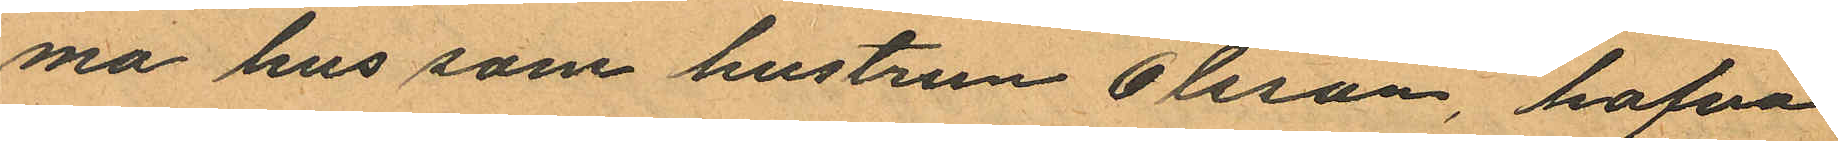ma hus som hustrun Olsson, hafva
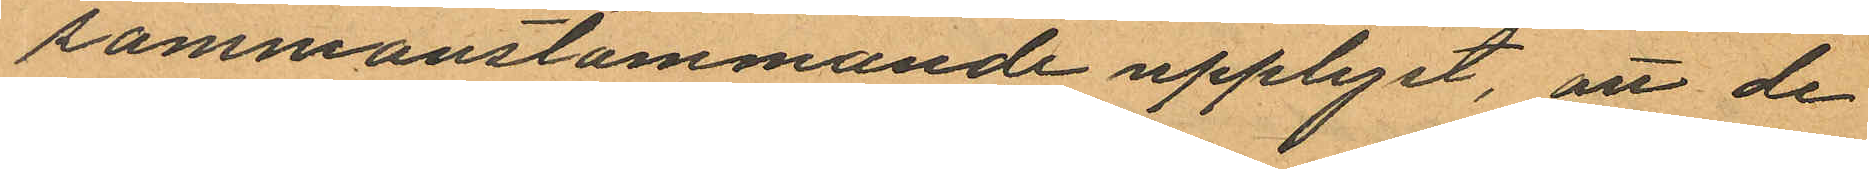sammanstämmande upplyst, att de
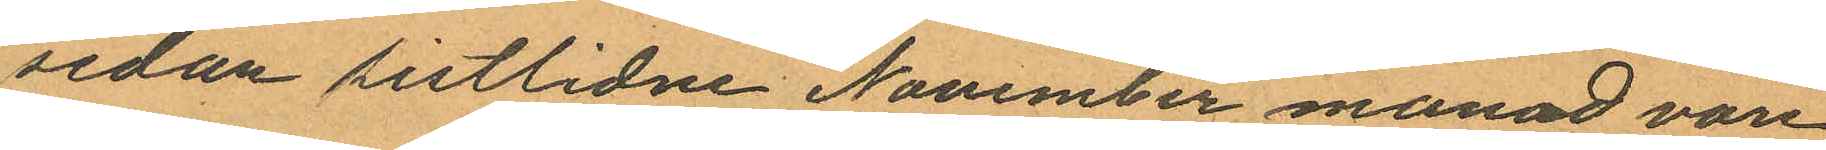sedan sistlidne November månad vore
